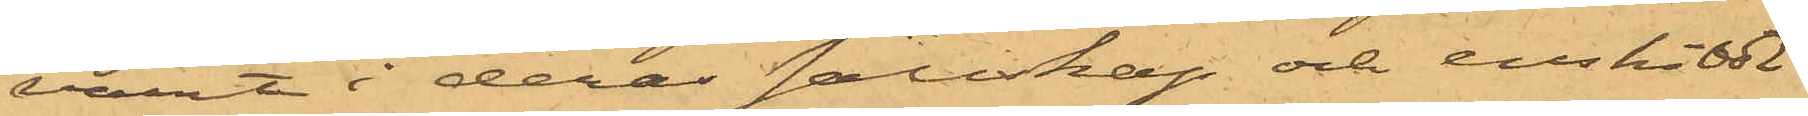varit i deras sällskap och enskildt
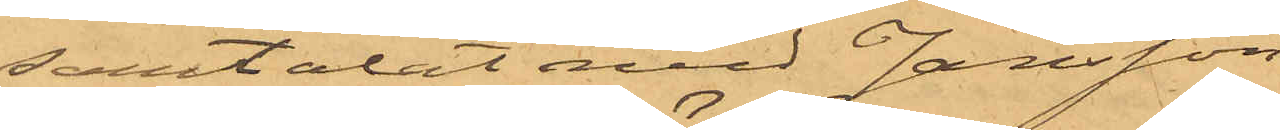samtalat med Jansson;
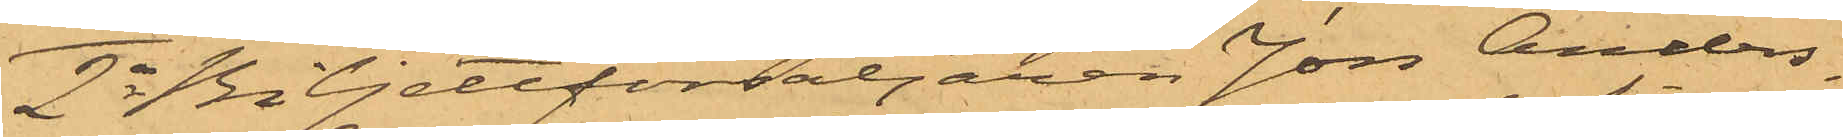2o Biljettförsäljaren Jon Anders¬
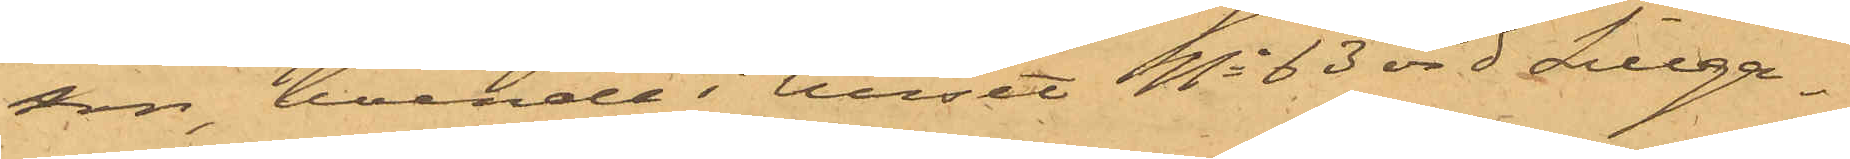son, boende i huset No 63 vid Sillga¬
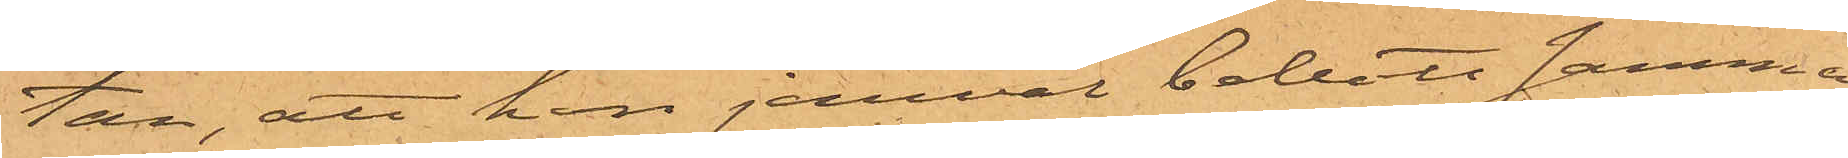tan, att han jemväl bebott samma
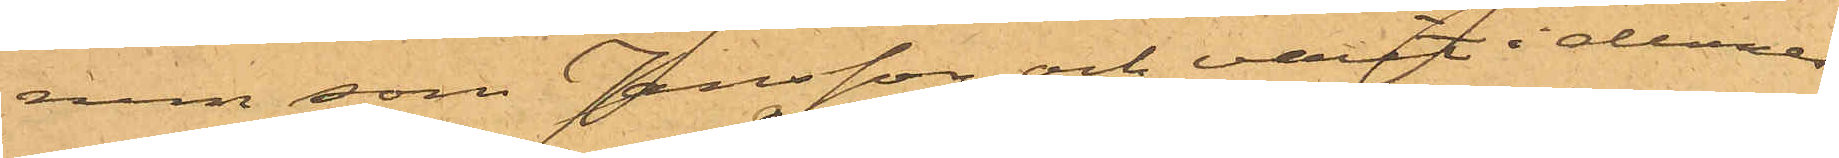rum som Jansson och varit i deras
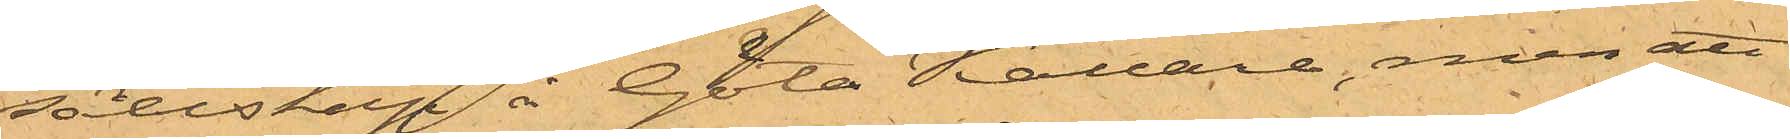sällskap å Göta Källare, men att
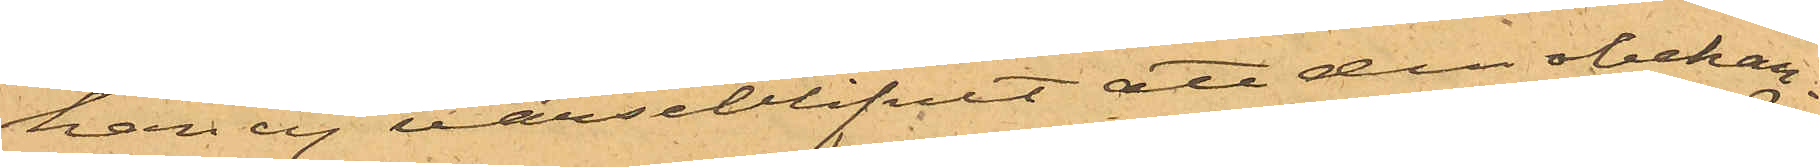han ej varseblifvit att den obekan¬
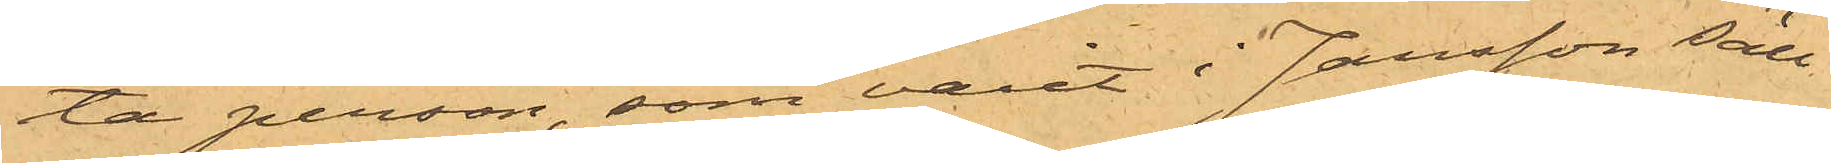ta person, som varit i Jansson säll¬
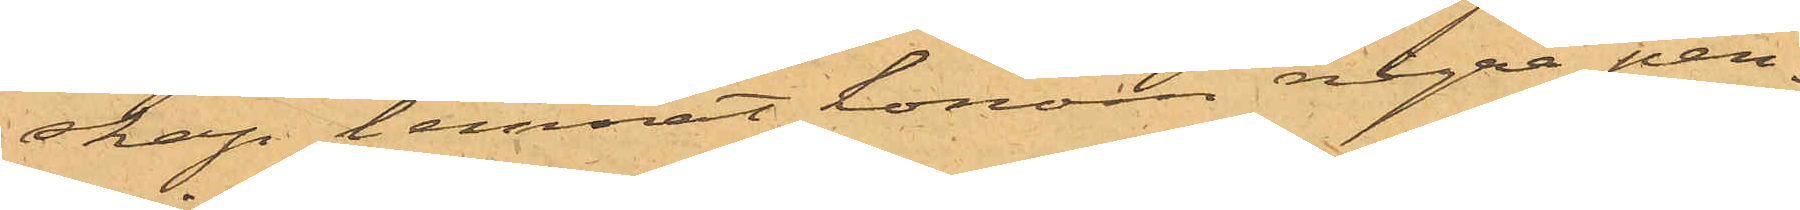skap lemnat honom några pen¬
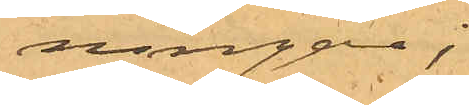ningar;
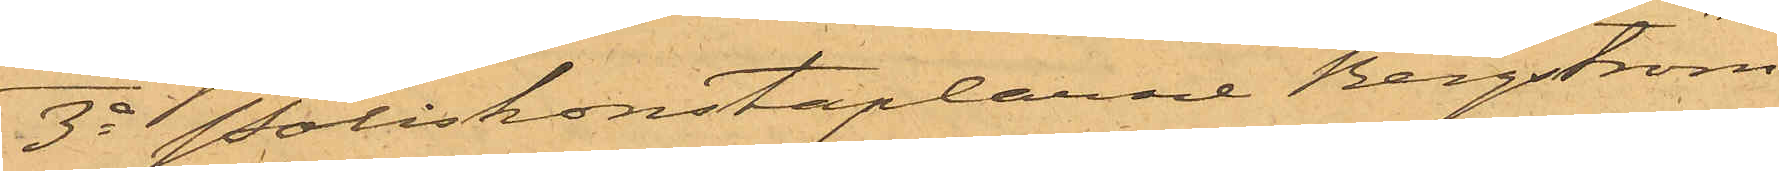3o Poliskonstaplarne Bergström
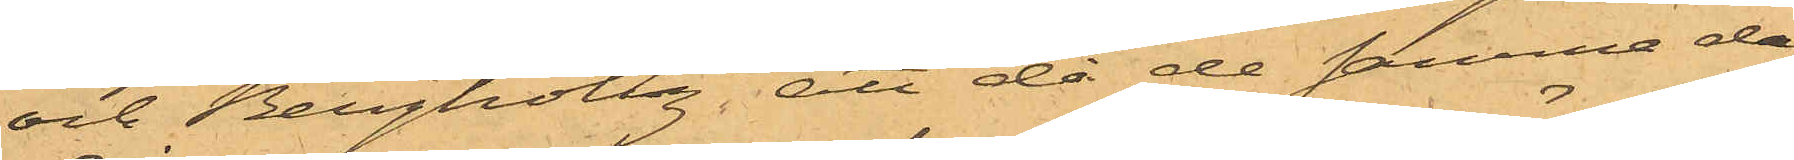och Bergholtz att då de samma dag
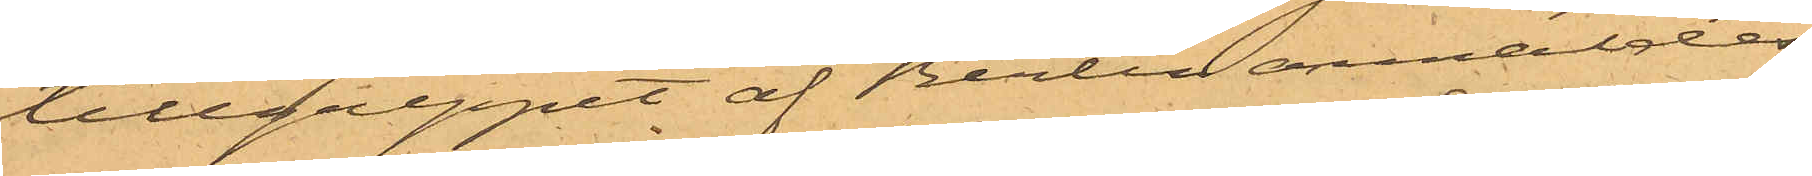tillgreppet af Berlin anmäldes,
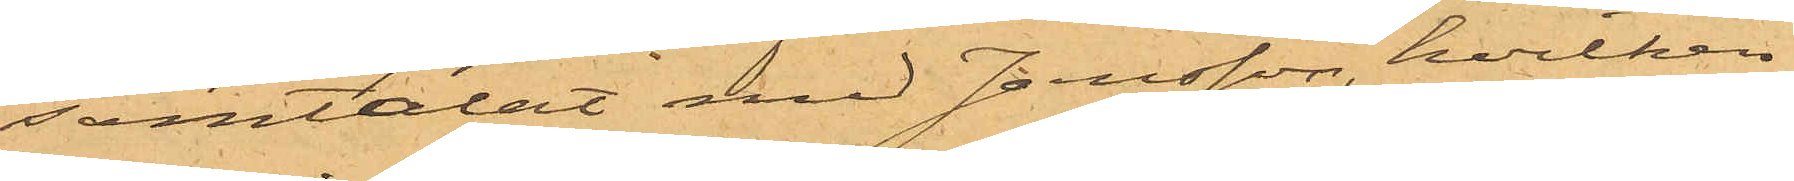samtalat med Jansson, hvilken
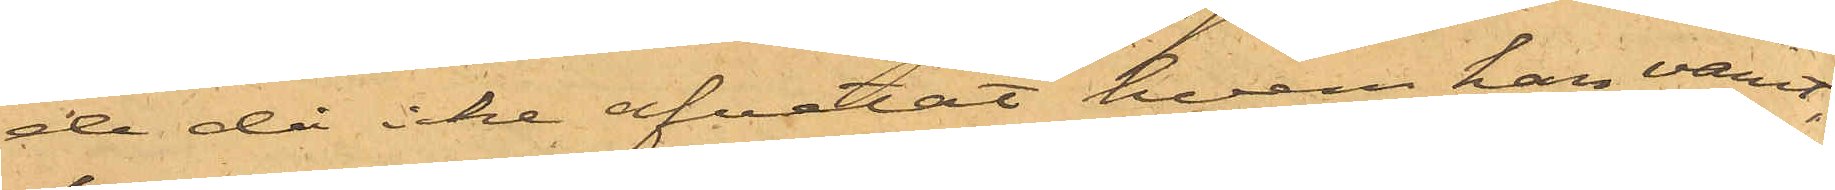de då icke afvetat hvem han varit,
